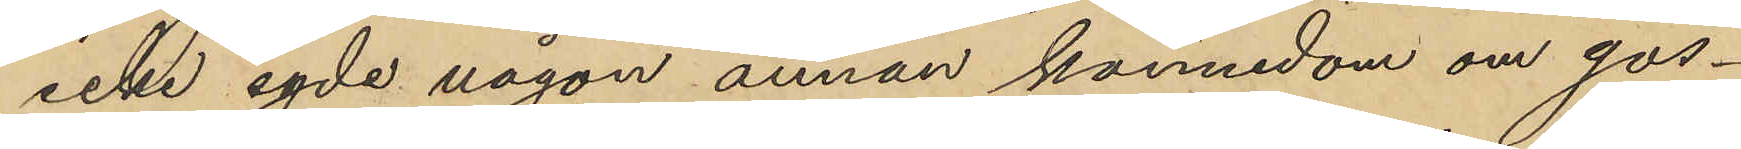icke egde någon annan kännedom om gos¬
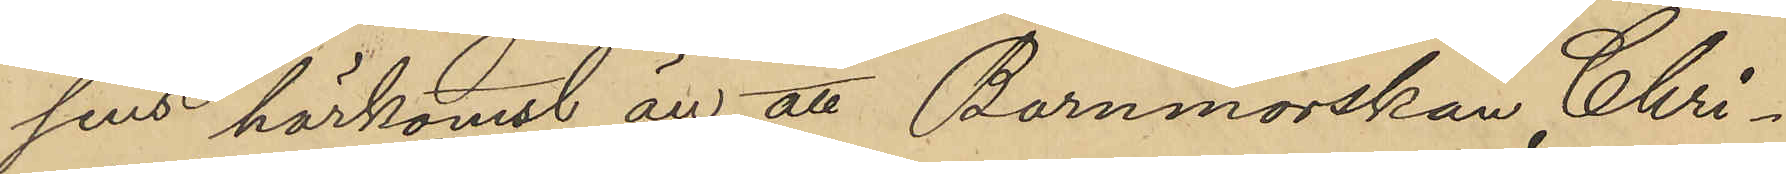sens härkomst än att Barnmorskan Chri¬
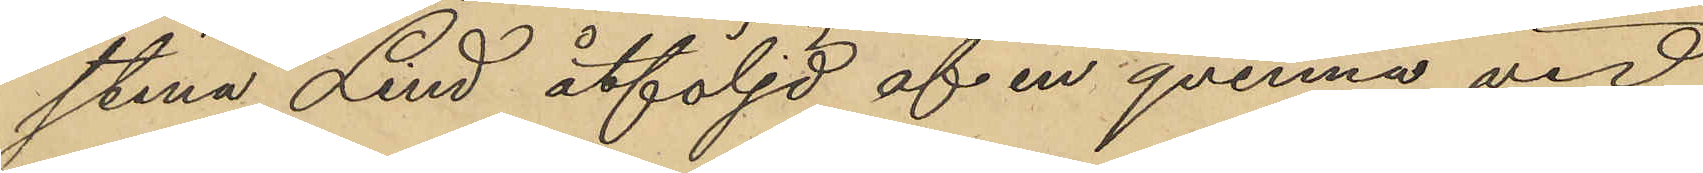stina Lind åtföljd af en qvinna vid
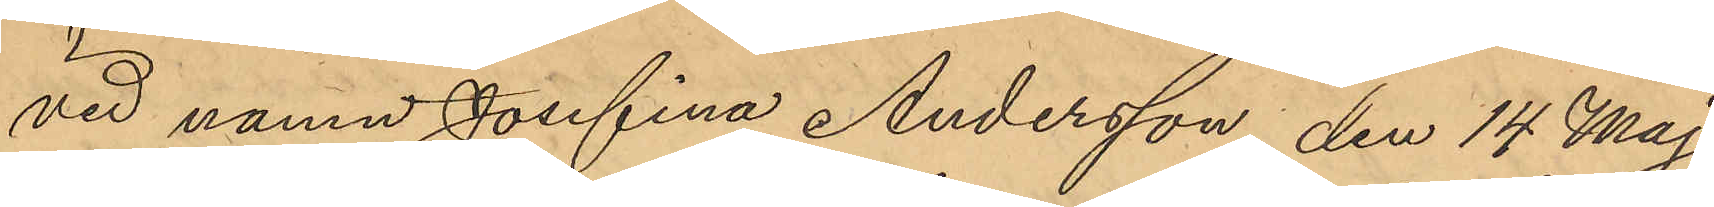vid namn Josefina Andersson den 14 Maj
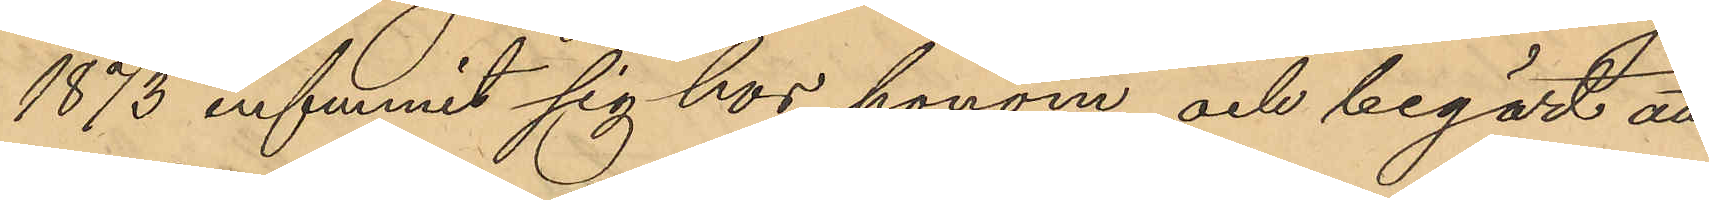1873 infunnit sig hos honom och begärt att
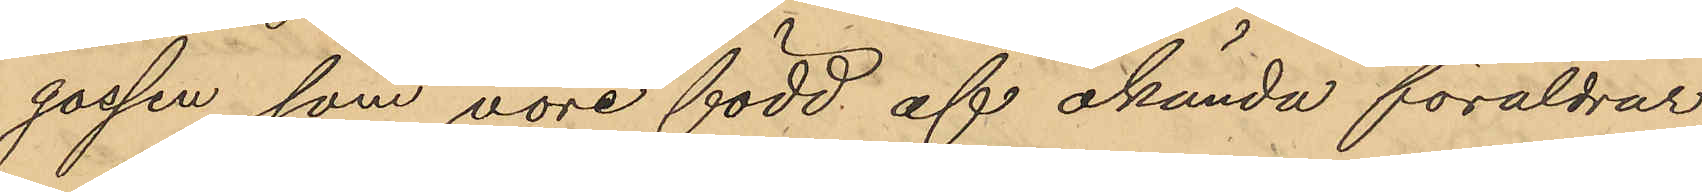gossen, som vore född af okända föräldrar,
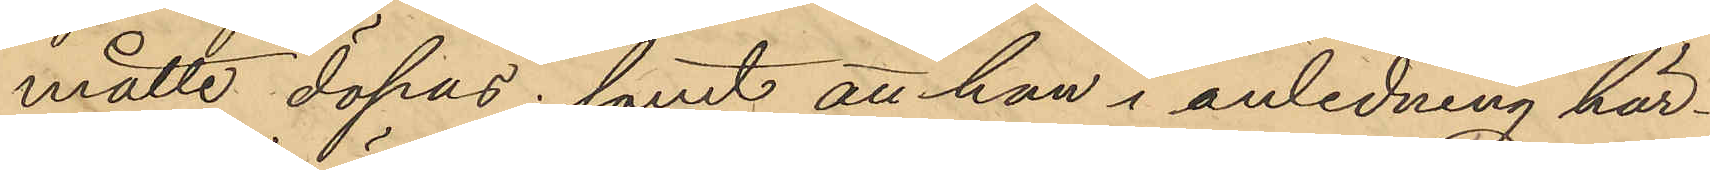måtte döpas; samt att han i anledning här¬
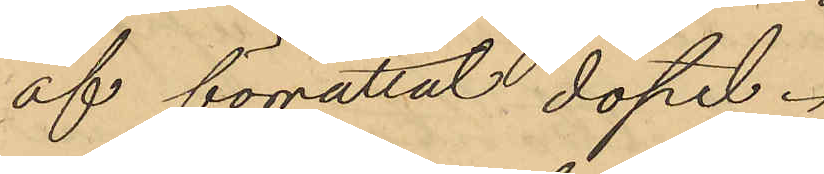af förrättat dopet.
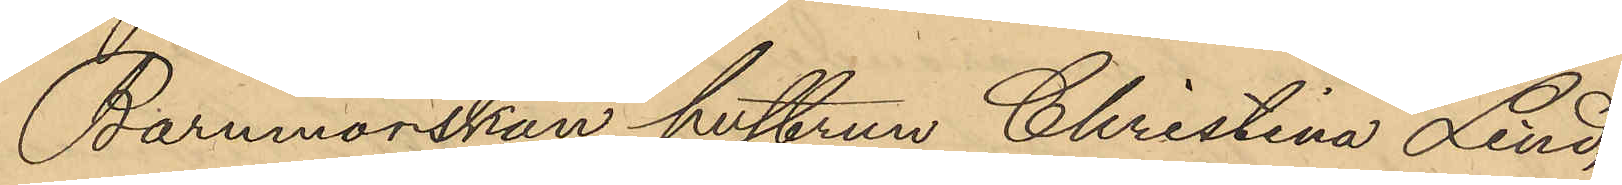Barnmorskan hustrun Christina Lind,
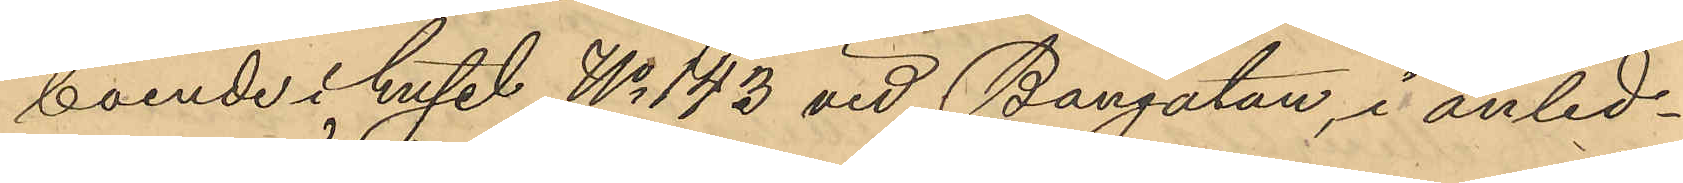boende i huset No 143 vid Bangatan, i anled¬
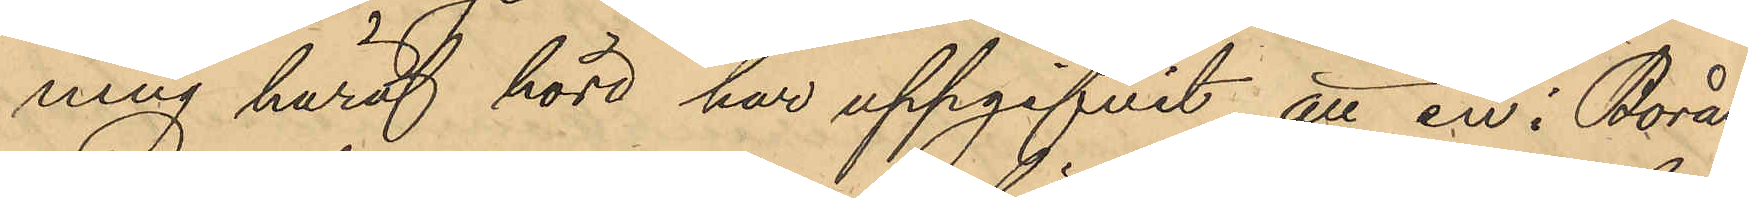ning häraf hörd har uppgifvit, att en i Borås
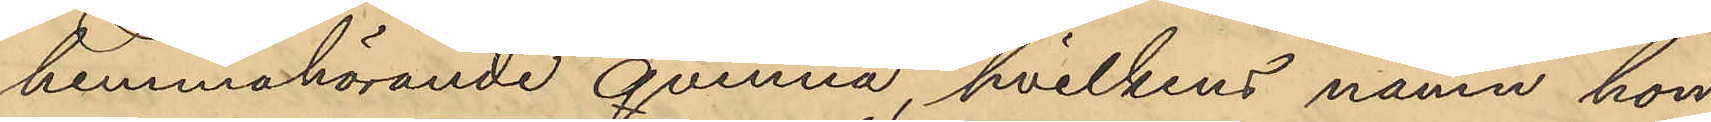hemmahörande qvinna, hvilkens namn hon
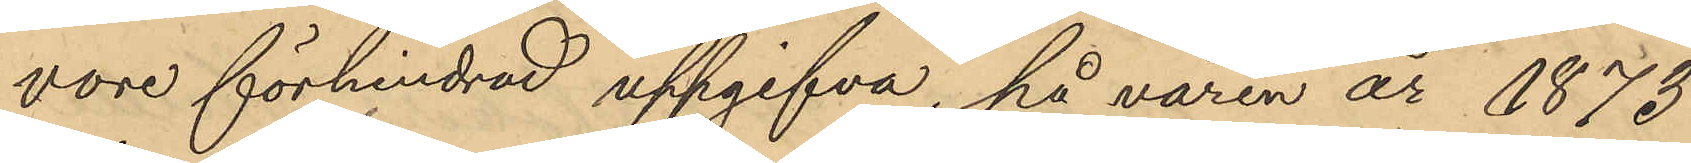vore förhindrad uppgifva, på våren år 1873
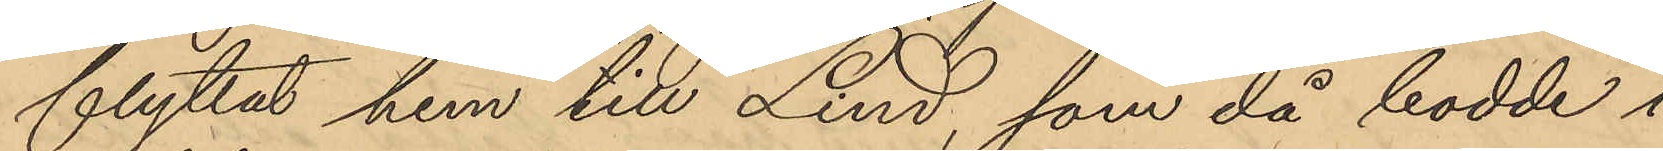flyttat hem till Lind, som då bodde i
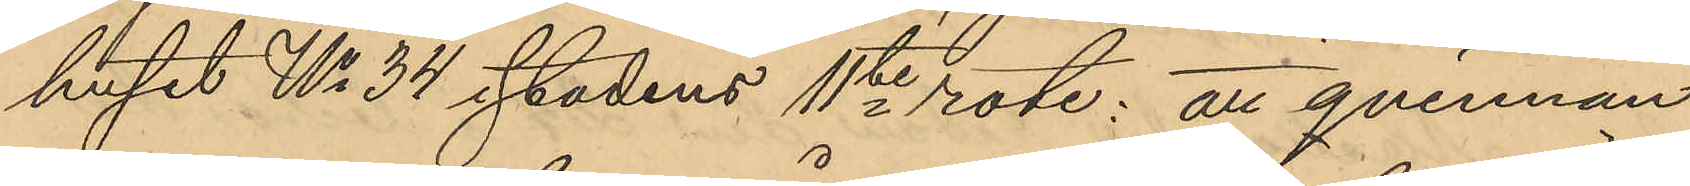huset No 34 stadens 1ste rote; att qvinnan
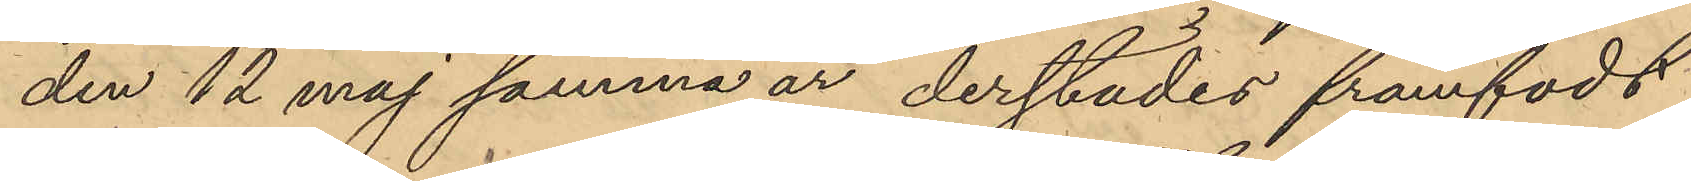den 12 maj samma år derstädes framfödt
